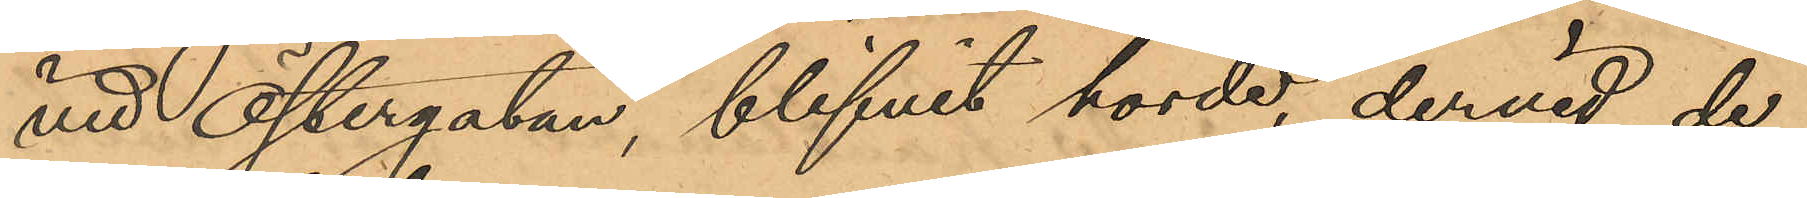vid Östergatan, blifvit hörde, dervid de
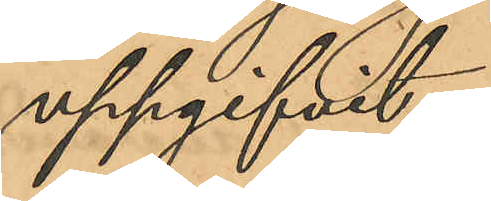uppgifvit:
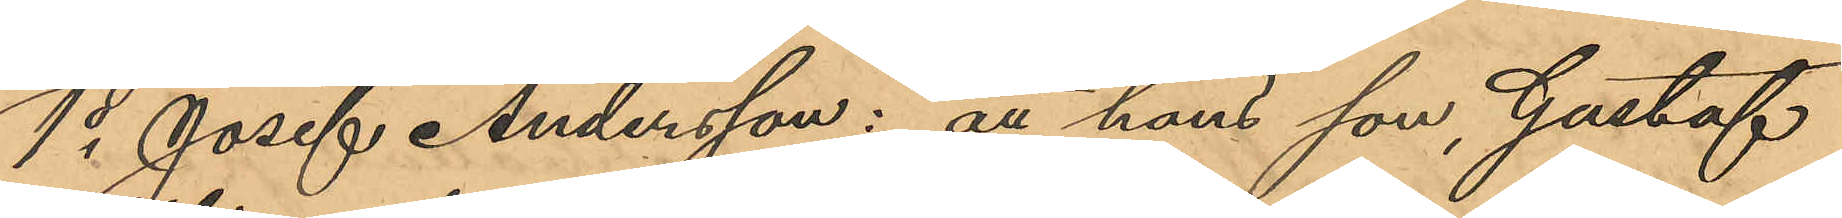1o Josef Andersson: att hans son, Gustaf
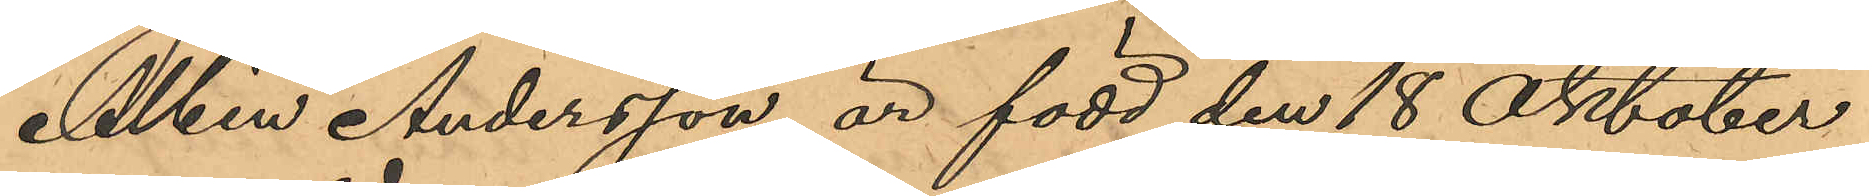Albin Andersson, är född den 18 Oktober
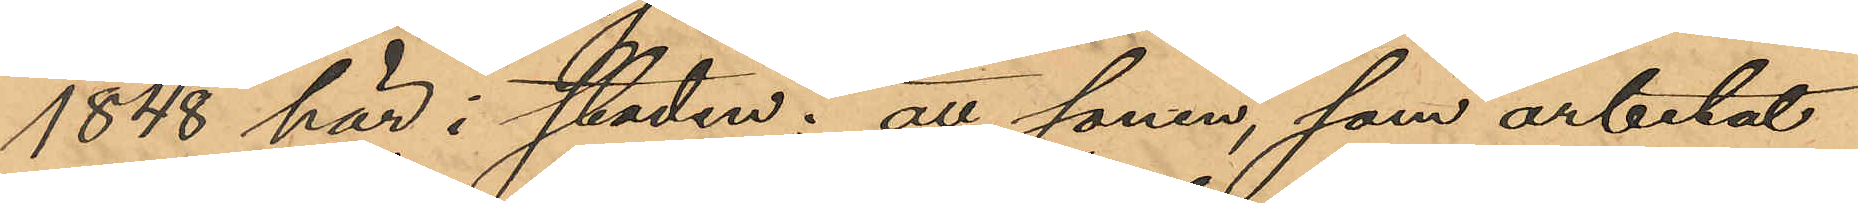1848 här i staden; att sonen, som arbetat
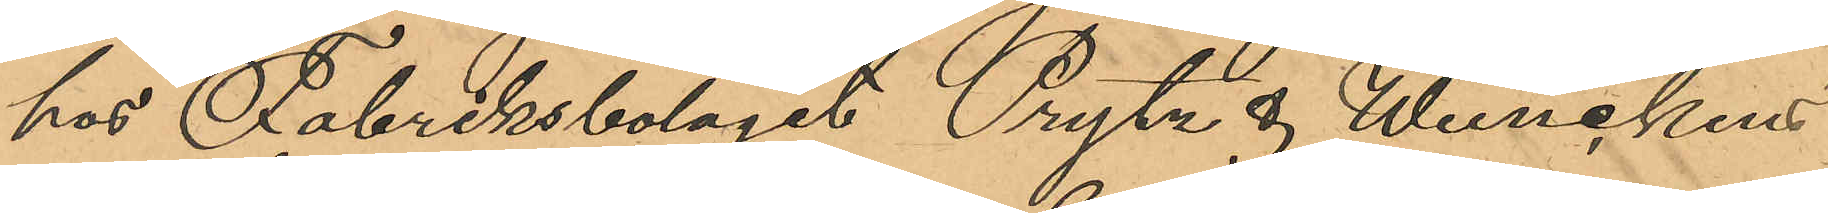hos Fabriksbolaget Prytz & Wernelund
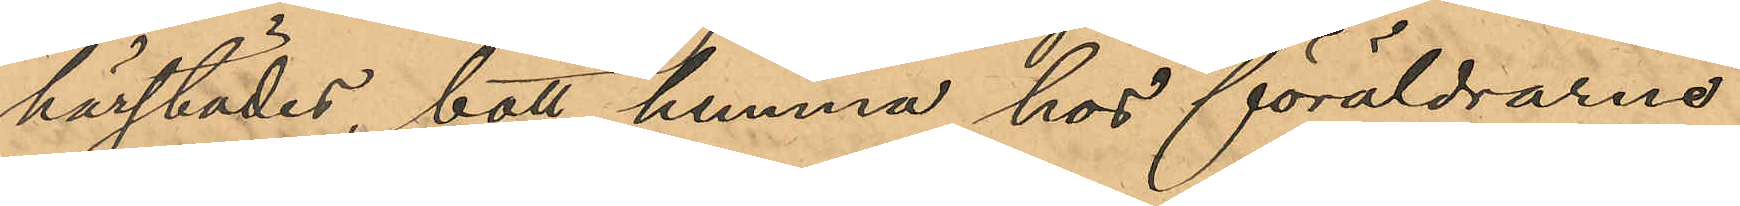härstädes, bott hemma hos föräldrarne
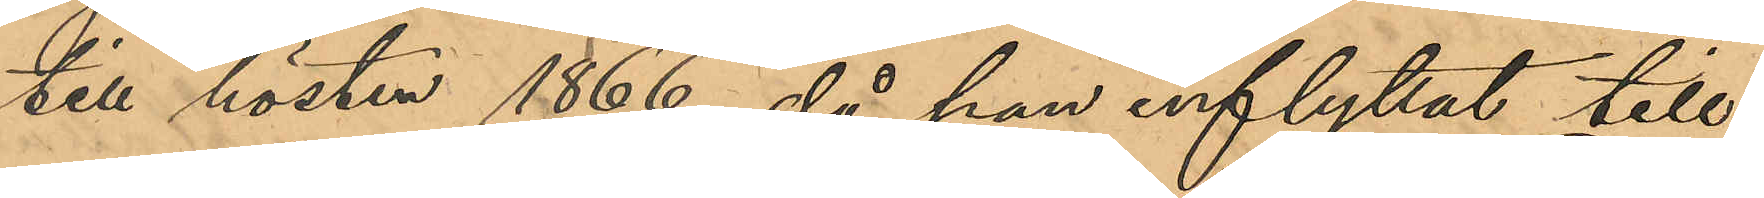till hösten 1866, då han inflyttat till
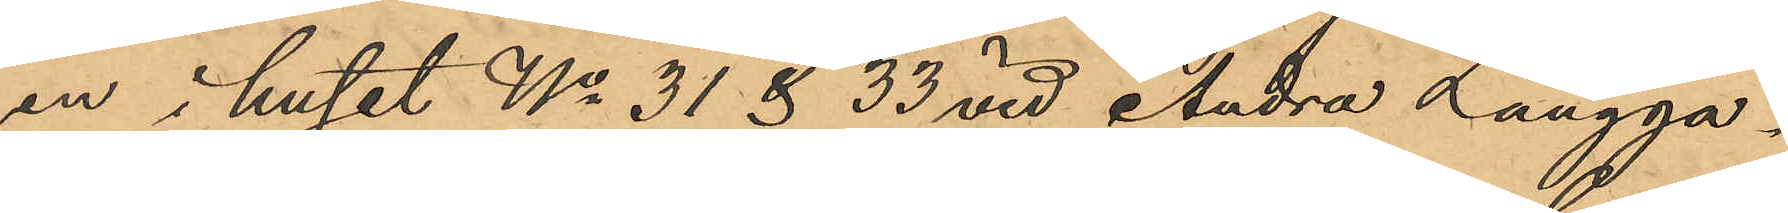en i huset No 31 & 33 vid Andra Långga¬
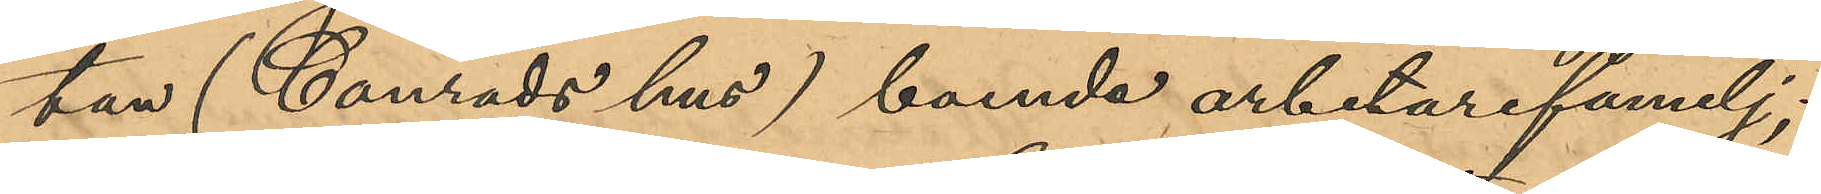tan (Conrads hus) boende arbetarefamilj;
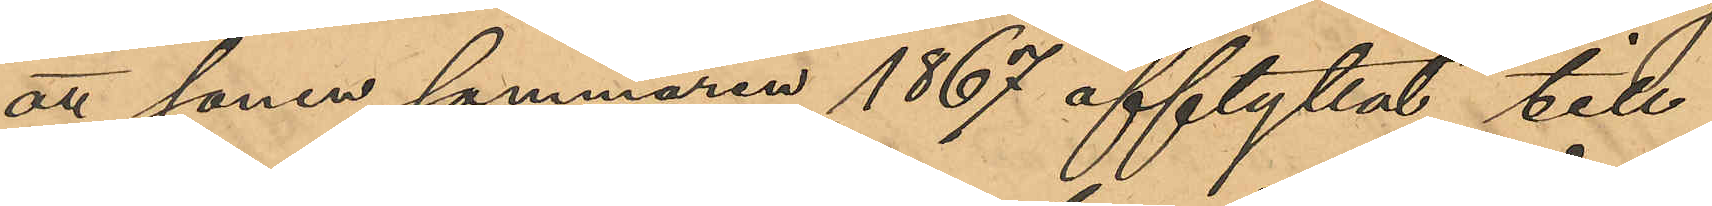att sonen sommaren 1867 afflyttat till
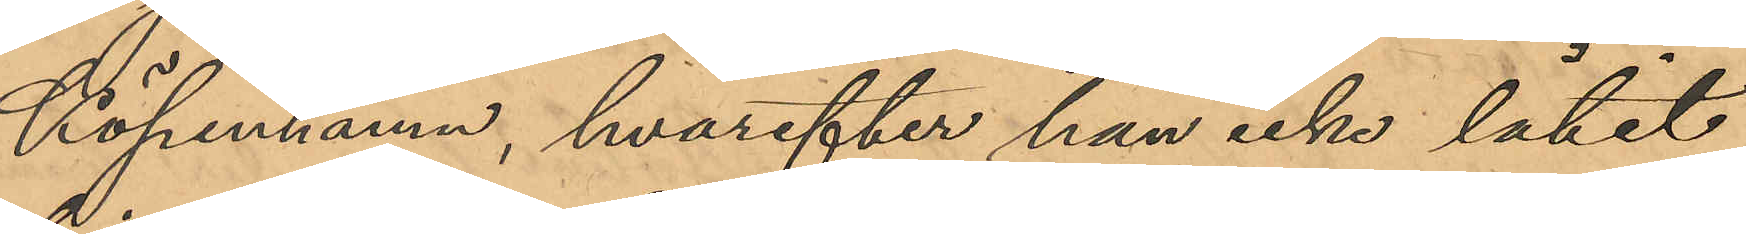Köpennamn, hvarefter han icke låtit
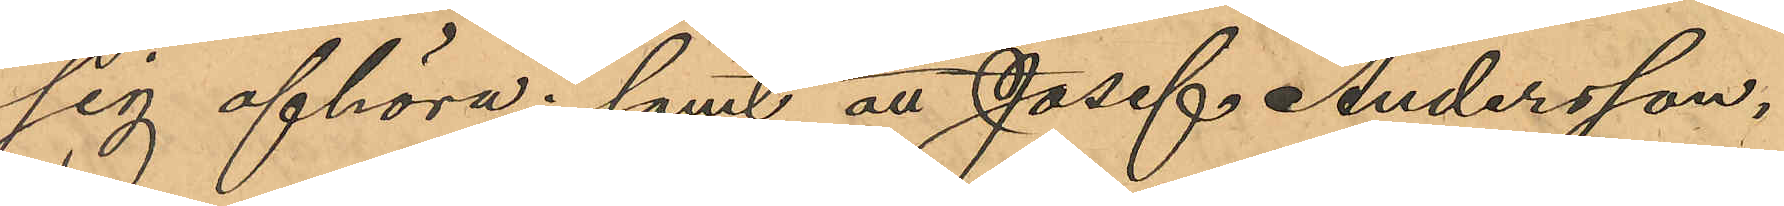sig afhöra; samt att Josef Andersson,
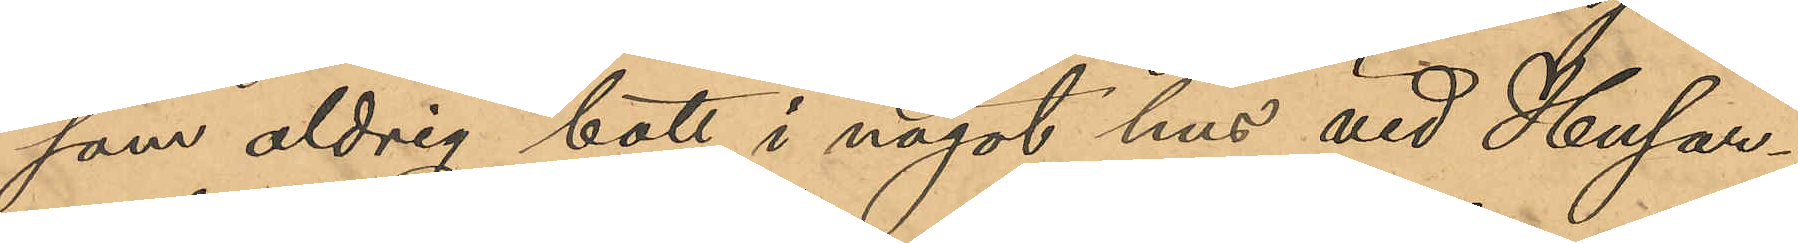som aldrig bott i något hus vid Husar¬
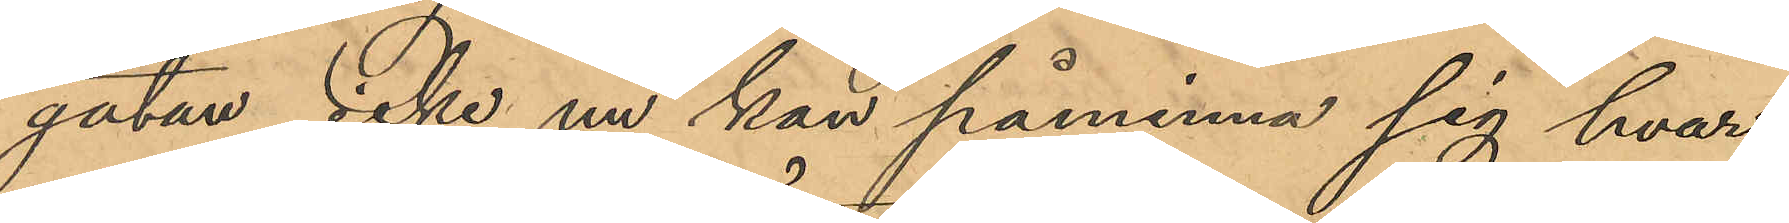gatan, icke nu kan påminna sig hvar
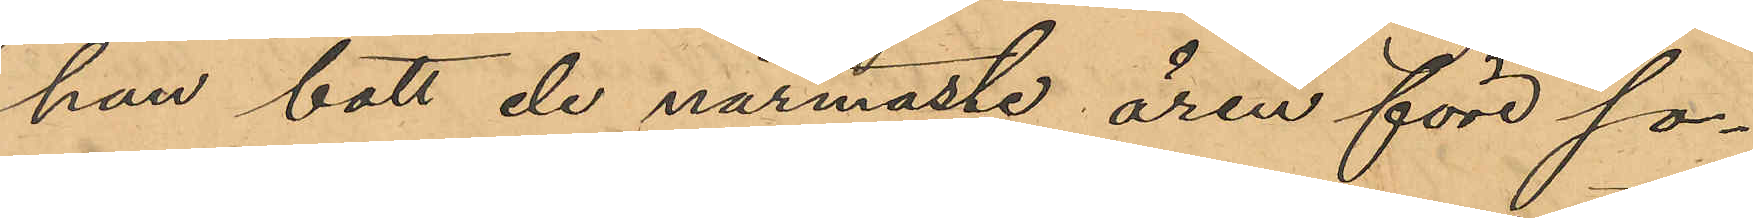han bott de närmaste åren före so¬
